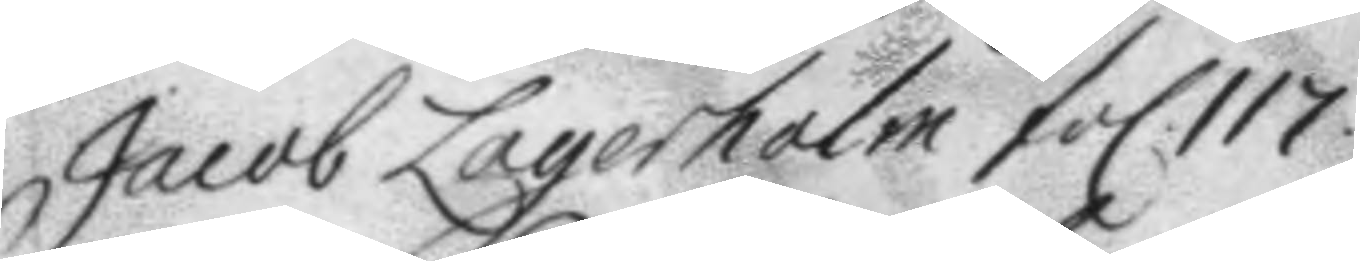Jacob Lagerholm fol. 117.
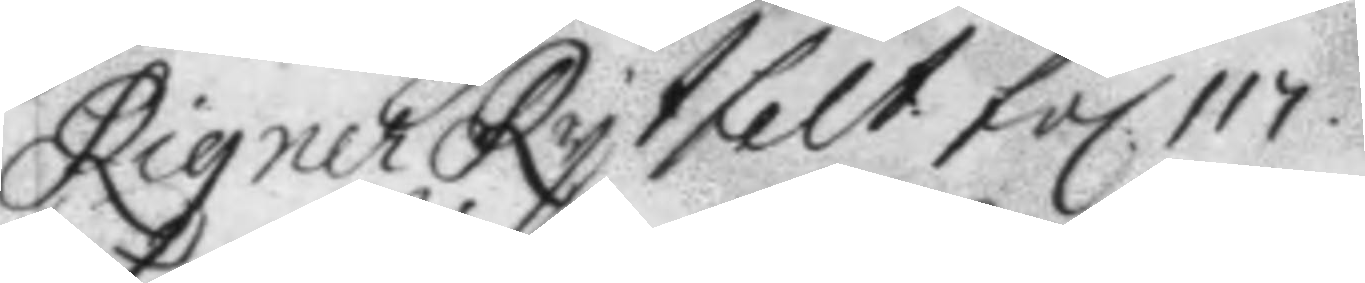Rigner Rytfelt fol. 117.
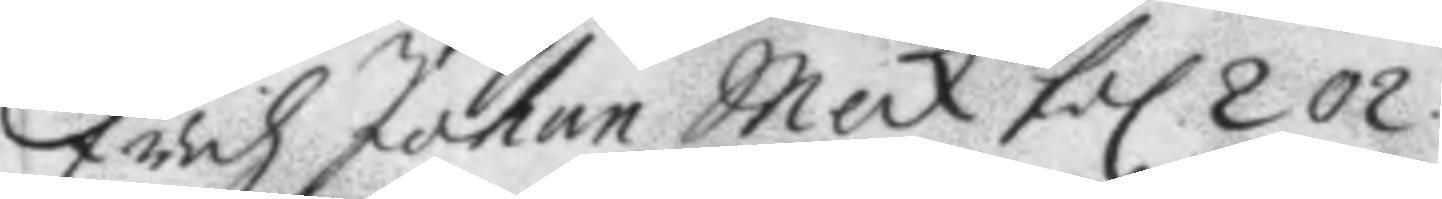Erich Johan Meck fol 202.
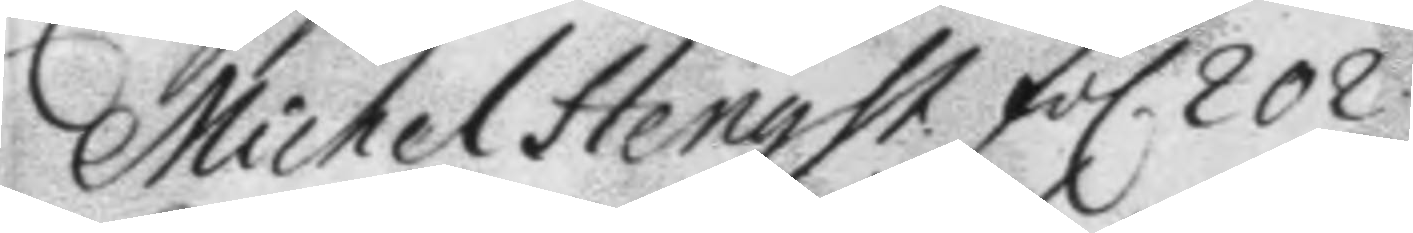Michel Hengst fol. 202.
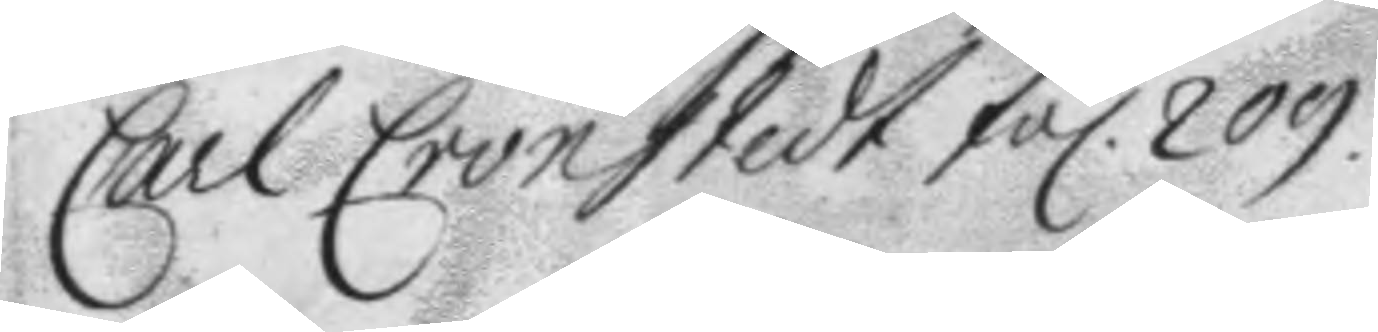Carl Cronstedt fol. 209.
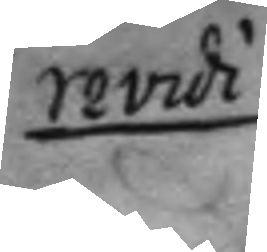revidi
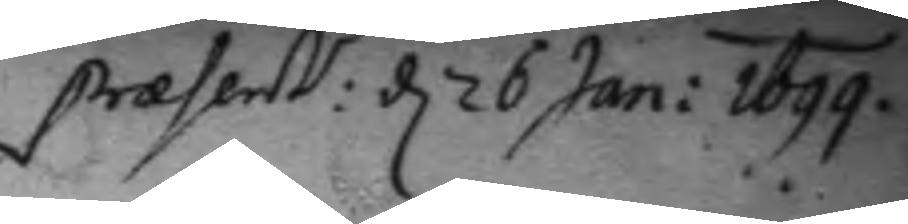present: d 26 Jan: 1699.
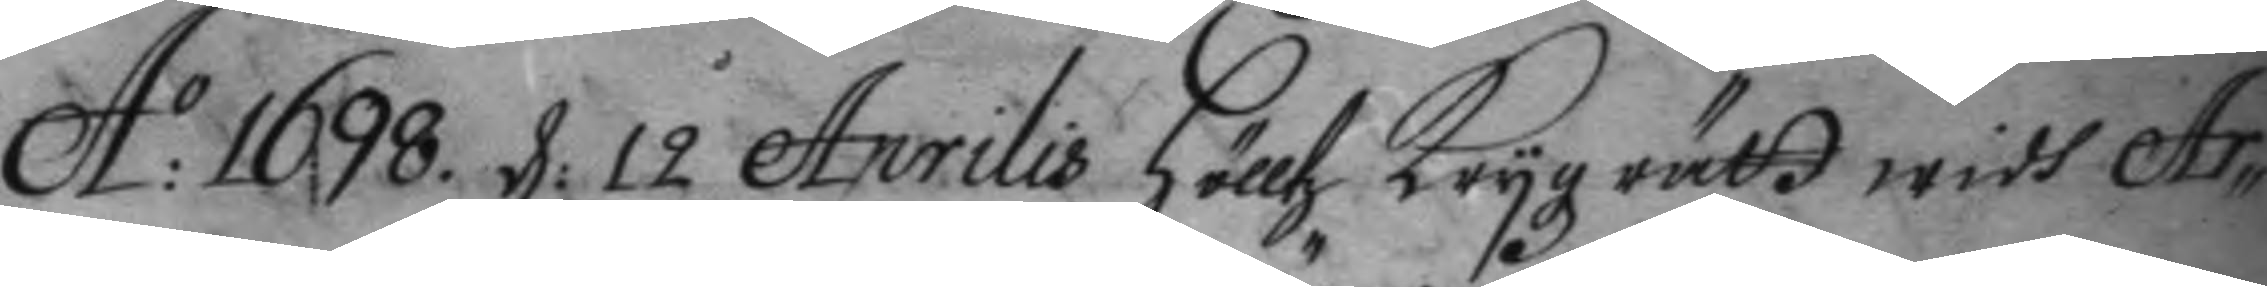A: 1698. d: 12 Aprilis hölltz Krygz rätt widh Ar¬
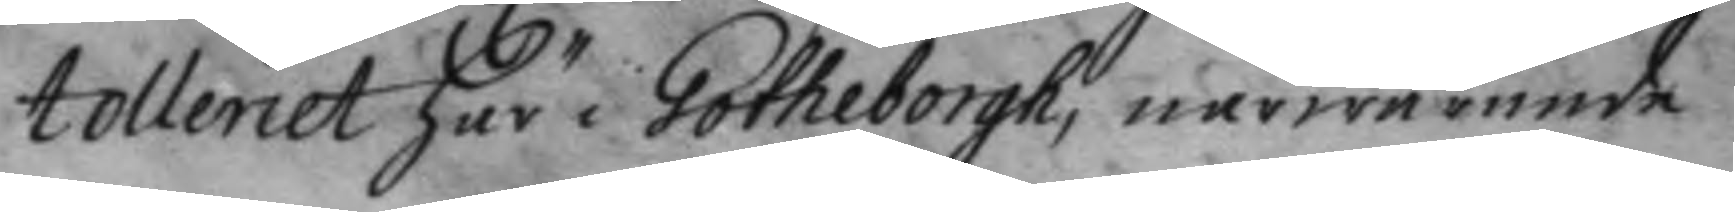tolleriet här i Götheborgh, närwarande
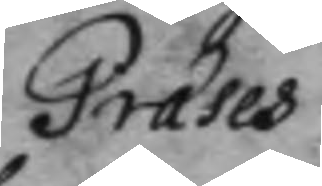Præses
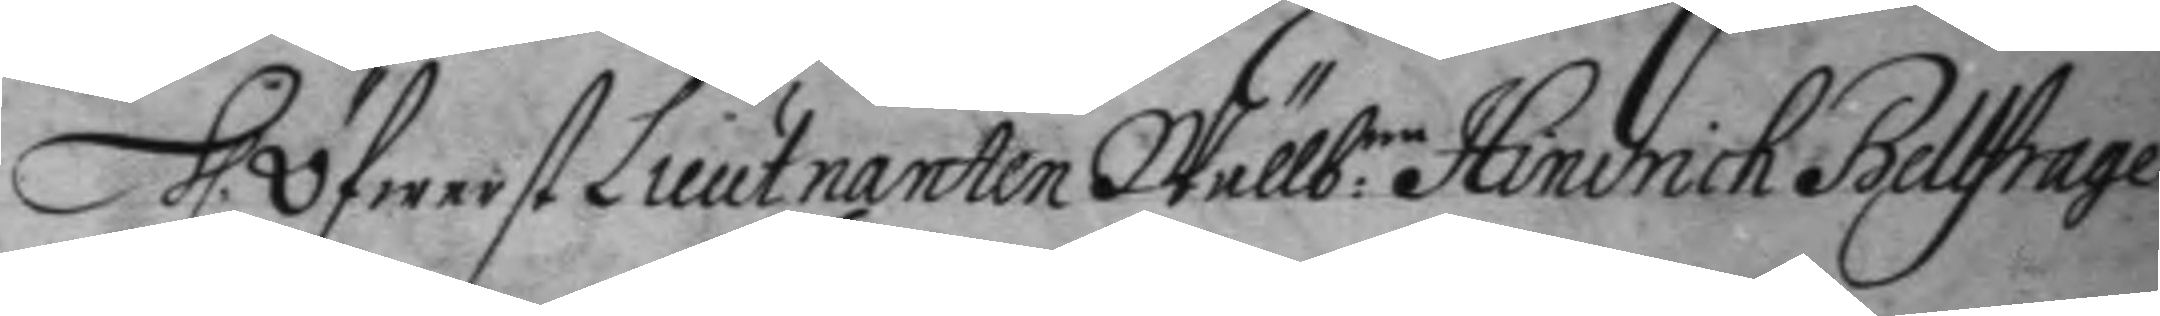h. Öfwerst Lieutnanten Wälb:ne Hindrick Bellfrage
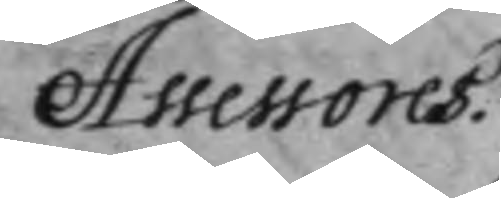Assessores.
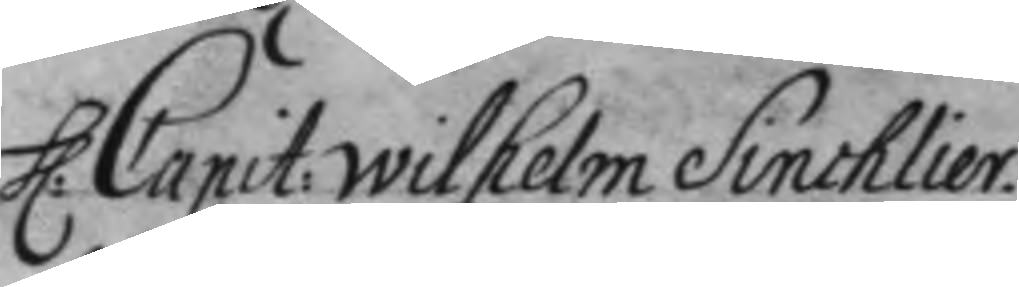h: Capit: Wilhelm Sinchlier.
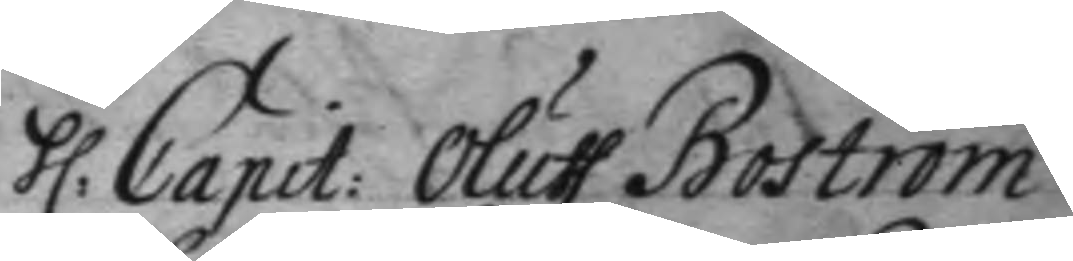h: Capit: Oluff Boström
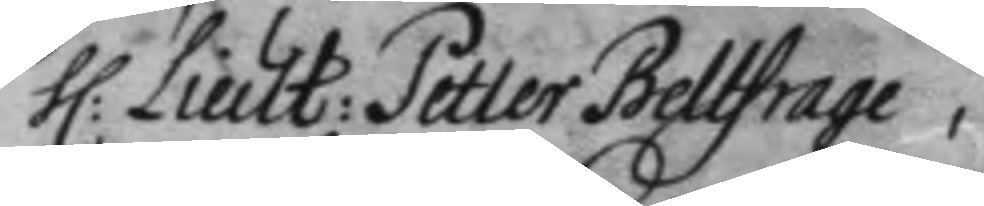h: Lieut: Petter Bellfrage,
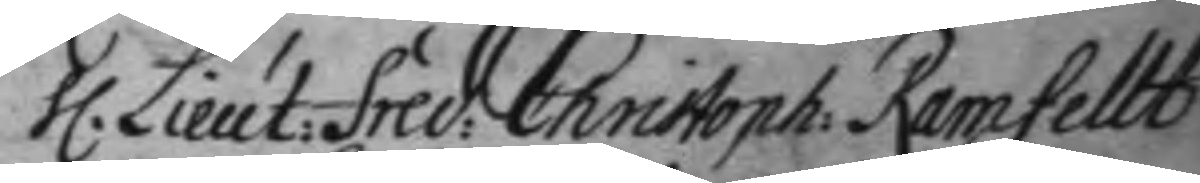h. Lieut: fred: Christoph: Ramfellt
